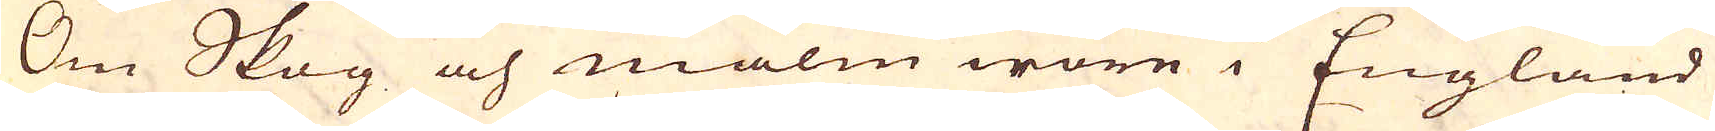Om Skog och malm wore i England
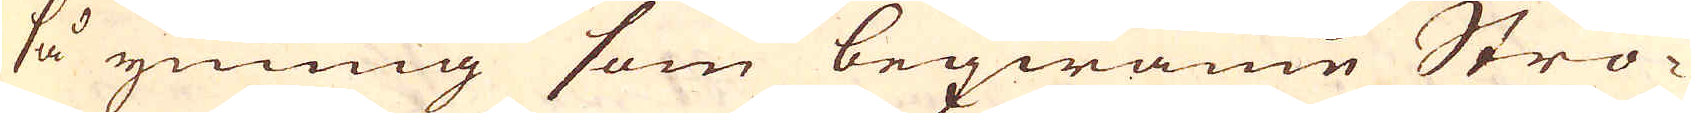så ymnig som beqwäme Strö-
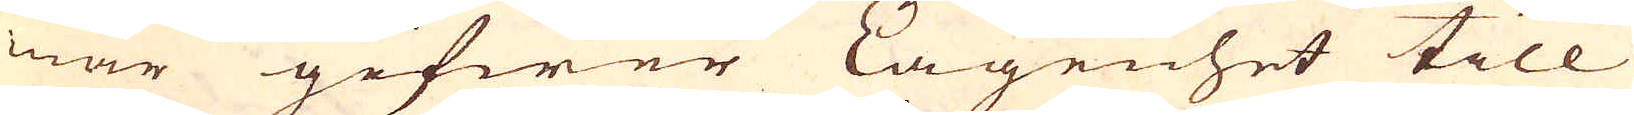mar gifwer Lägenhet till
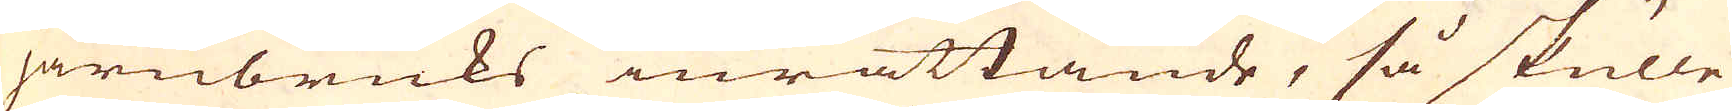järnbruks inrättande, så skulle
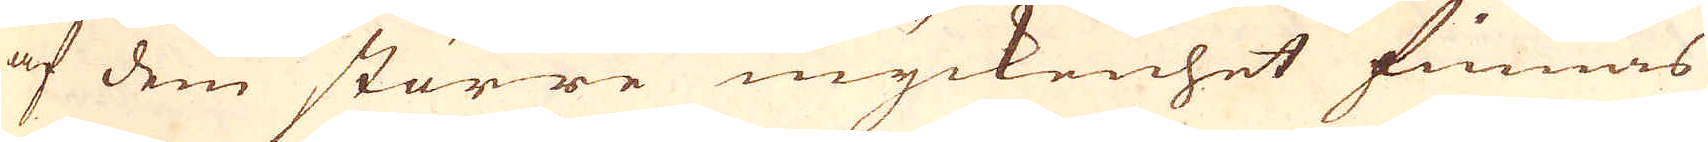af dem större myckenhet finnas
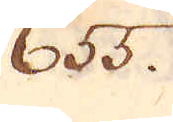655.
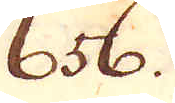656.
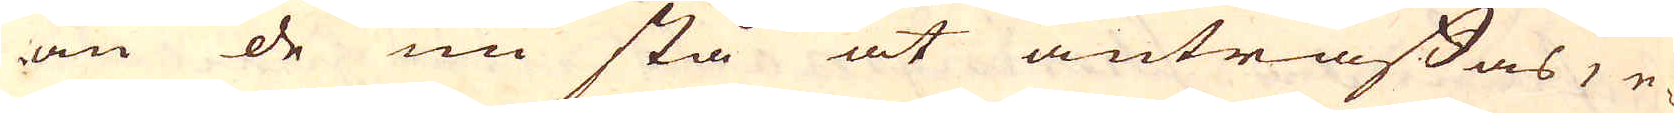än de nu stå at anträffas, e-
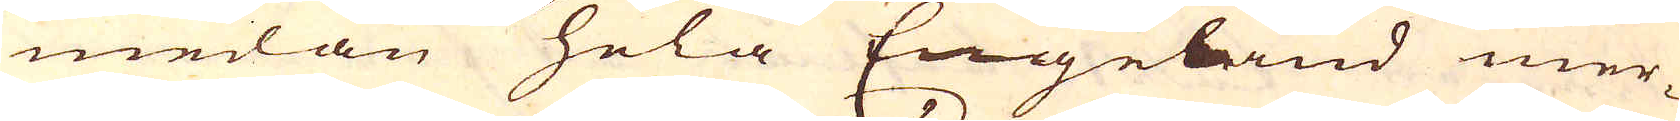medan hela Engeland mer-
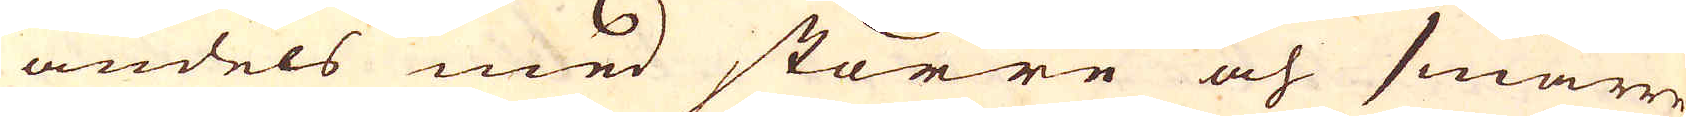andels med större och smärre-
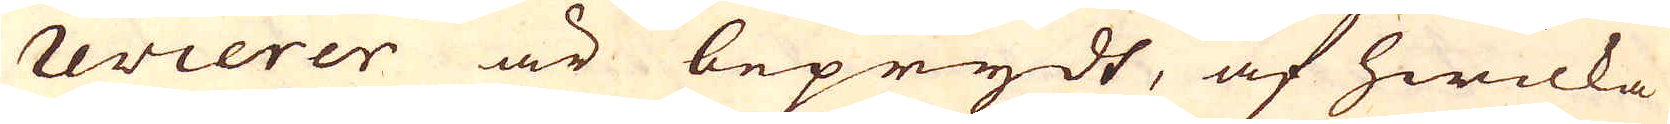revierer är beprydt, af hwilka
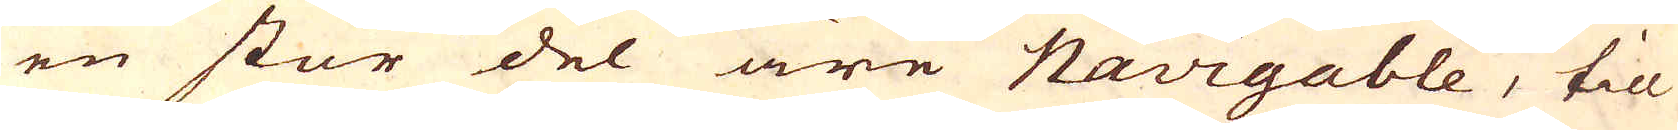en stor del äre Navigable, till
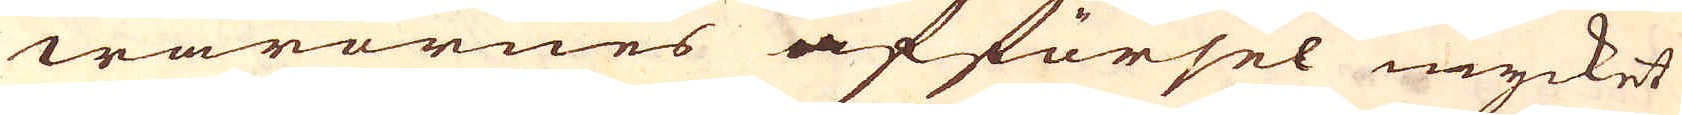warornes afförsel mycket
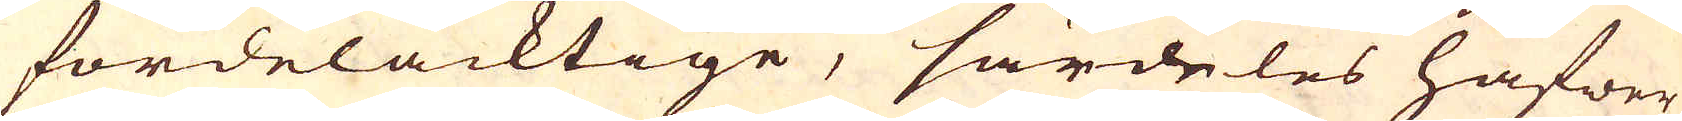fördelacktige, särdeles hafwer
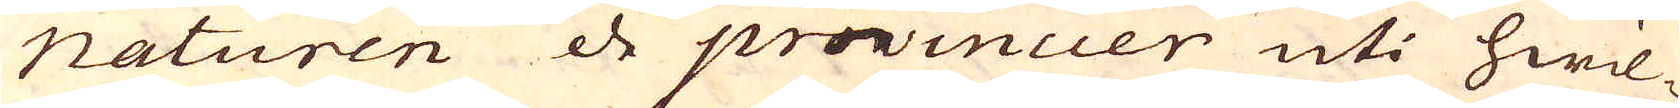naturen de provincier uti hwil-
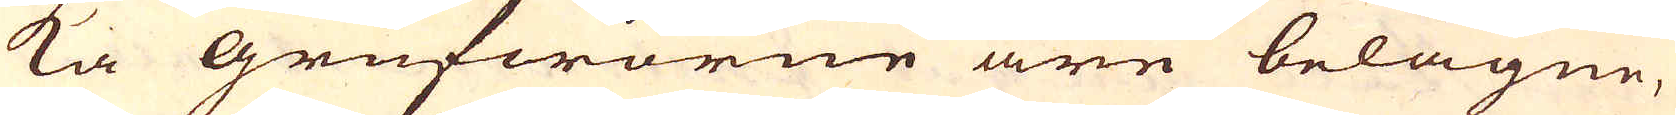ka Grufworne äre belägne,
